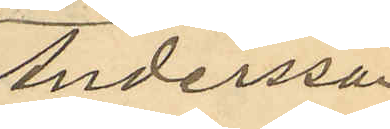Andersson
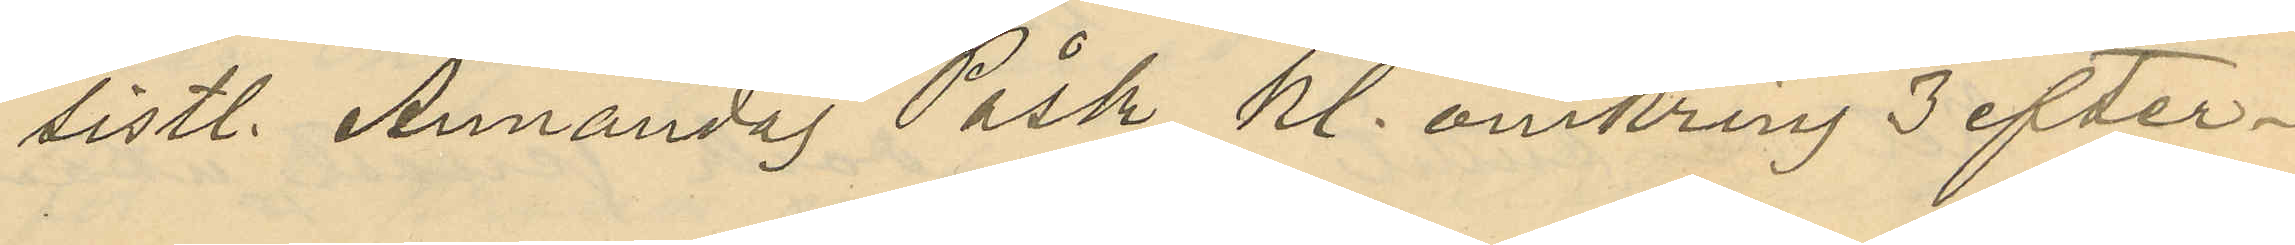sistl. Annandag Påsk, kl. omkring 3 efter¬
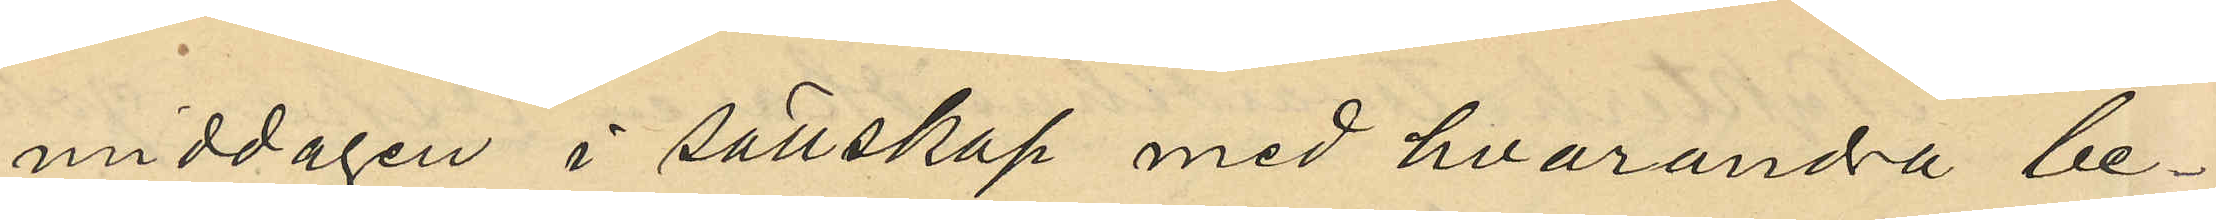middagen i sällskap med hvarandra be¬
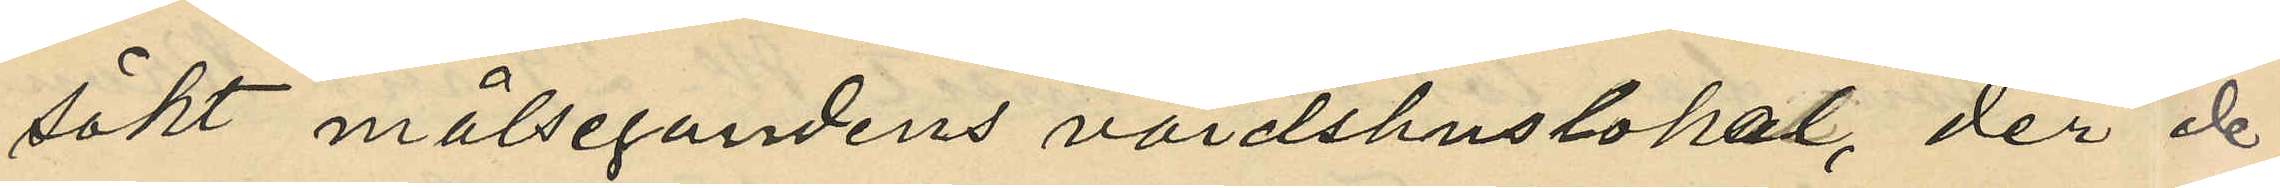sökt målsegandens värdshuslokal, der de
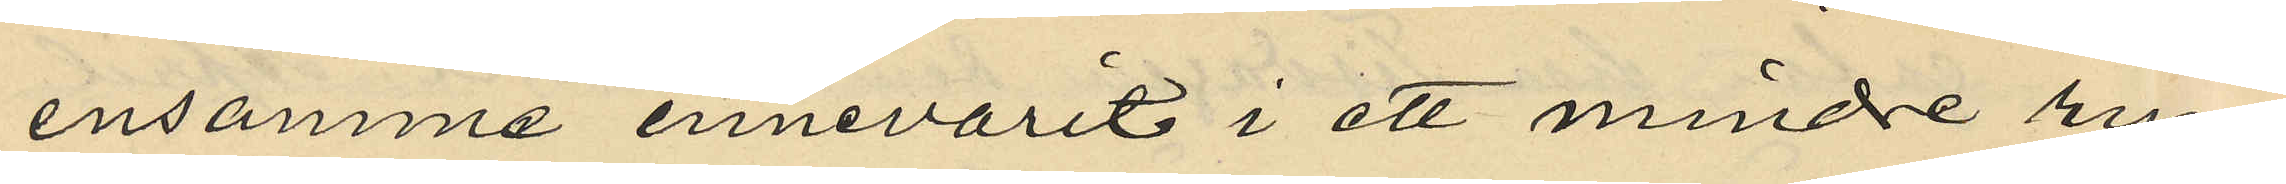ensamma innevarit i ett mindre rum
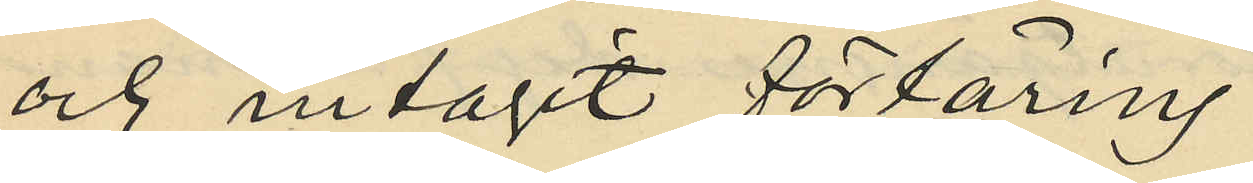och intagit förtäring;
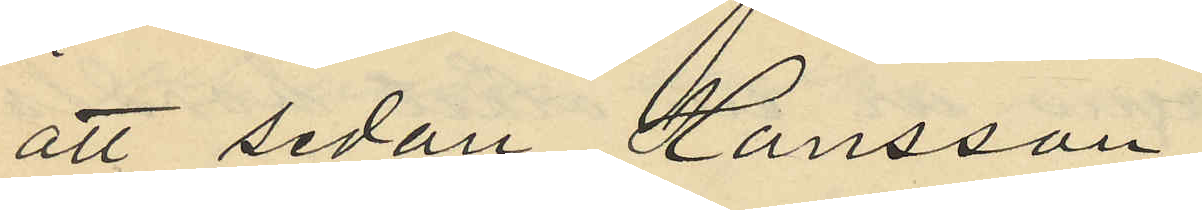att sedan Hansson
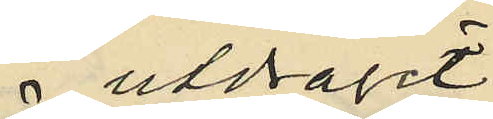 utdragit
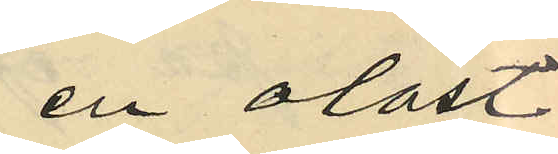en olåst
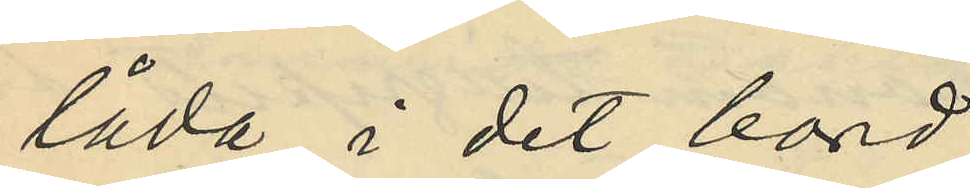låda i det bord
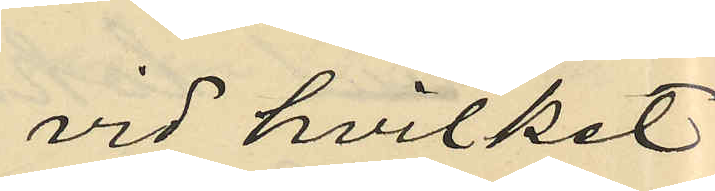vid hvilket
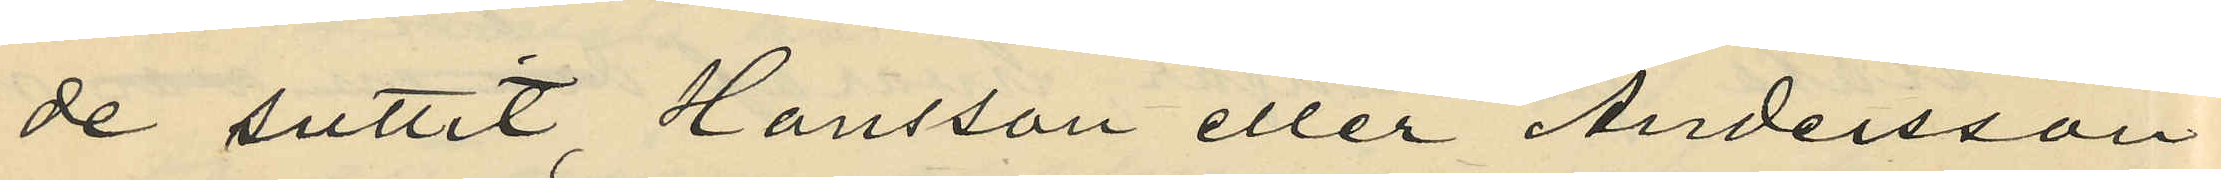de suttit, Hansson eller Andersson
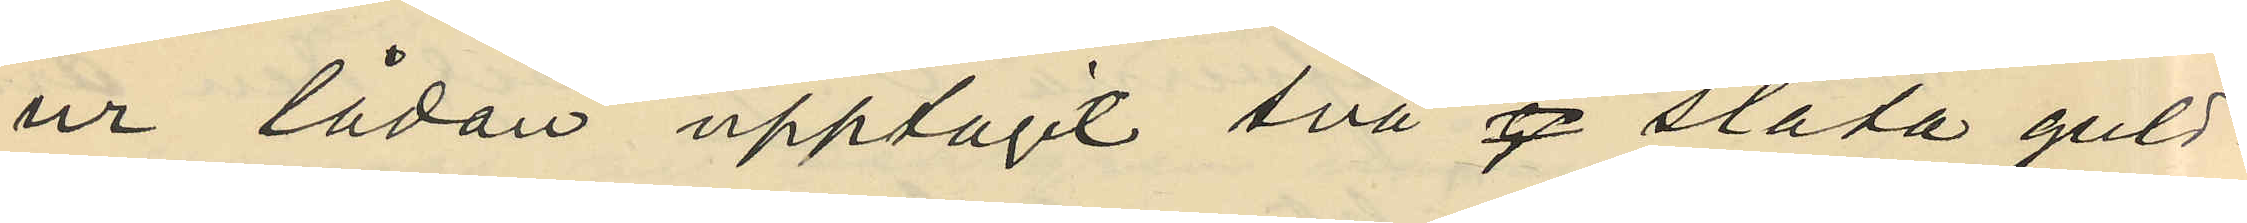ur lådan upptagit två släta guld¬
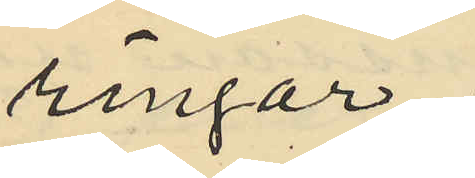ringar;
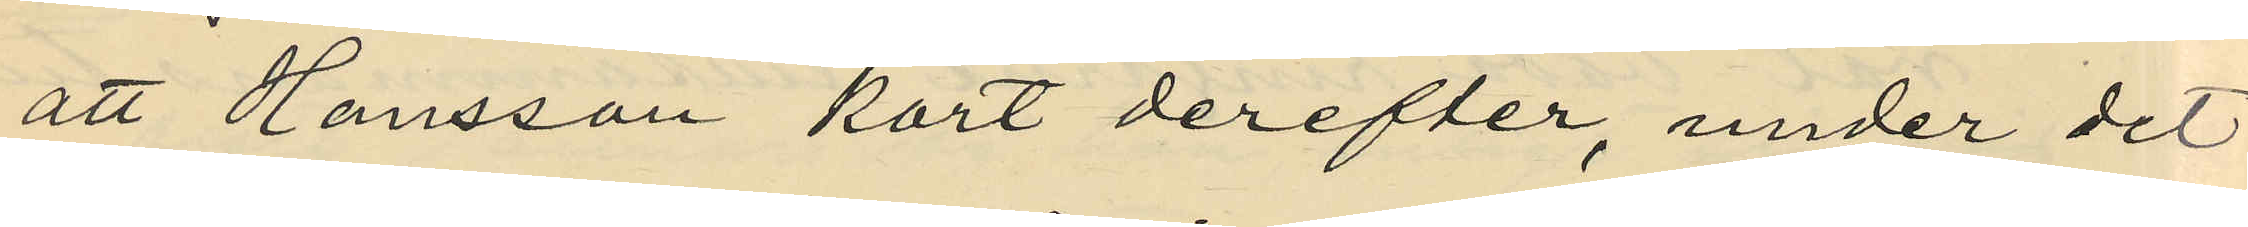att Hansson kort derefter, under det
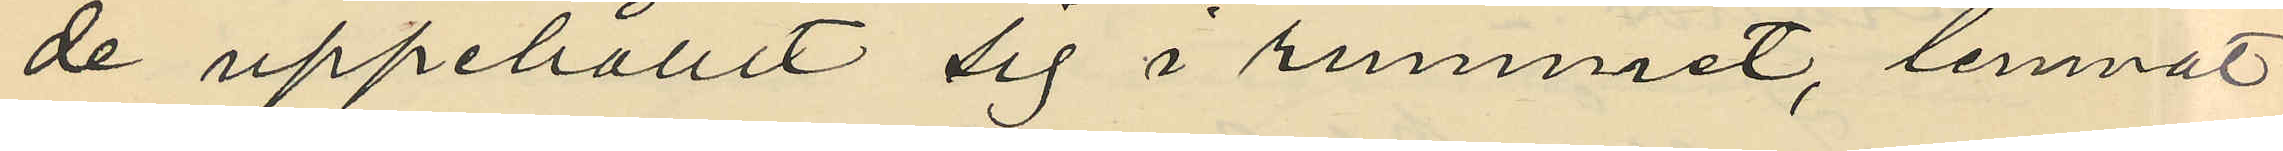de uppehållit sig i rummet, lemnat
